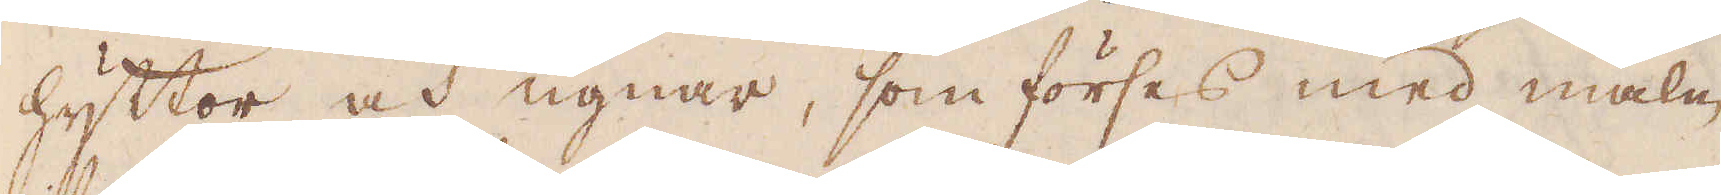hyttor och ugnar, som förses med malm
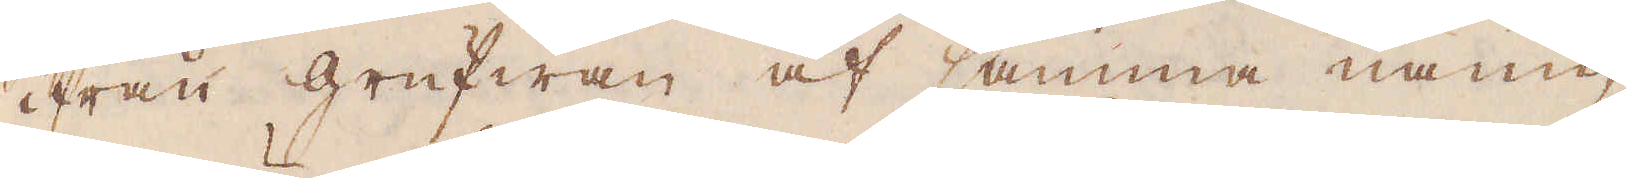ifrån grufwan af samma namn,
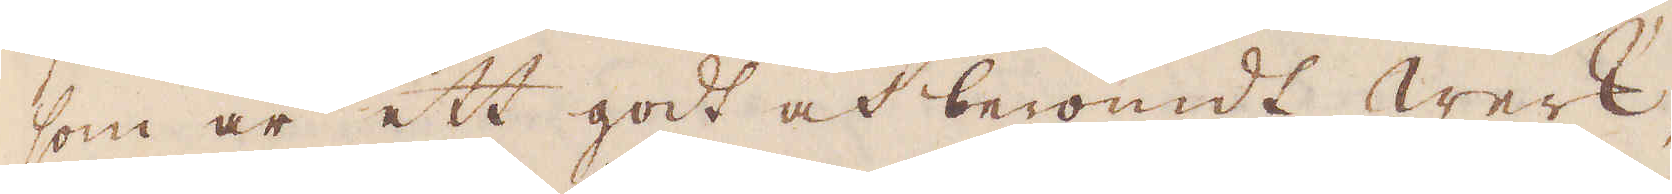som är ett godt och berömdt werk,
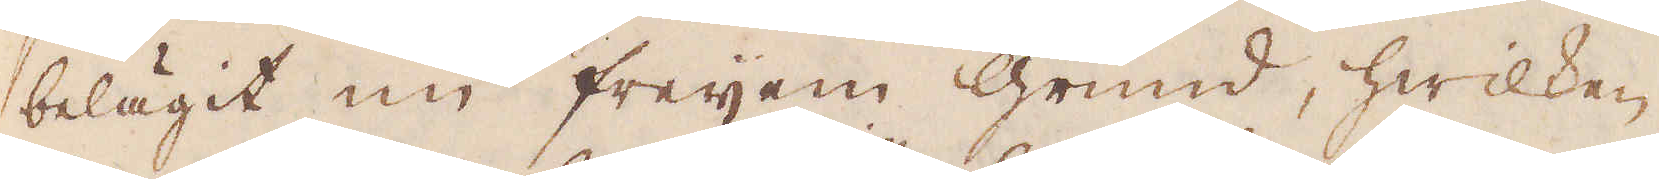belägit im freyem grund, hwilken
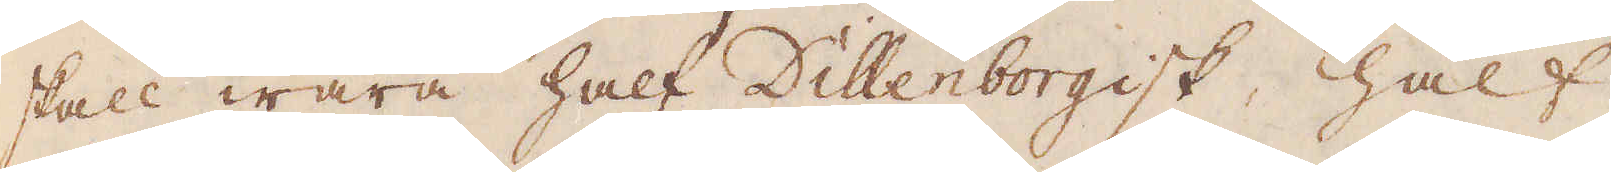skall wara half Dillenborgisk, half
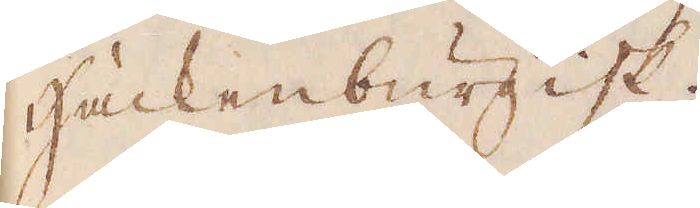Hackenburgisk.
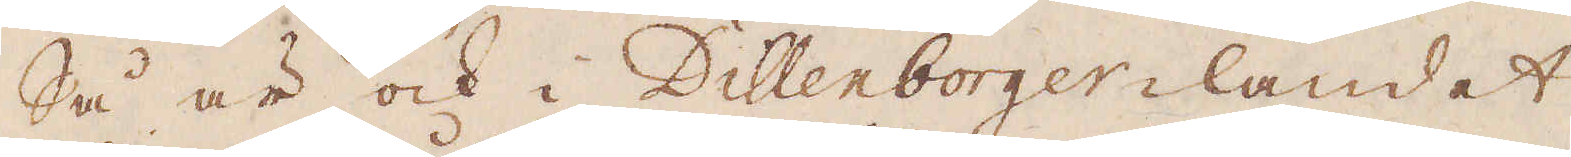Så är ock i Dillenborger-landet
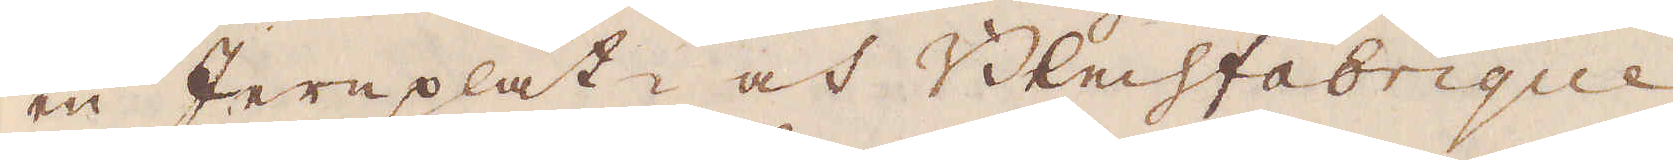en Jernplåt- och Blechfabrique
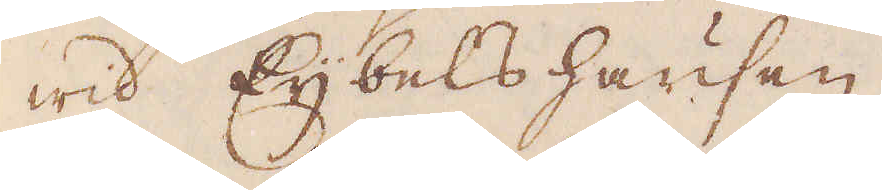wid Eybelshausen.
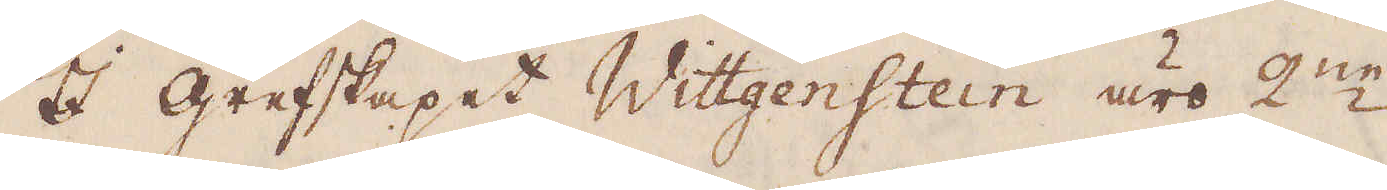I grefskapet Wittgenstein äro 2:ne
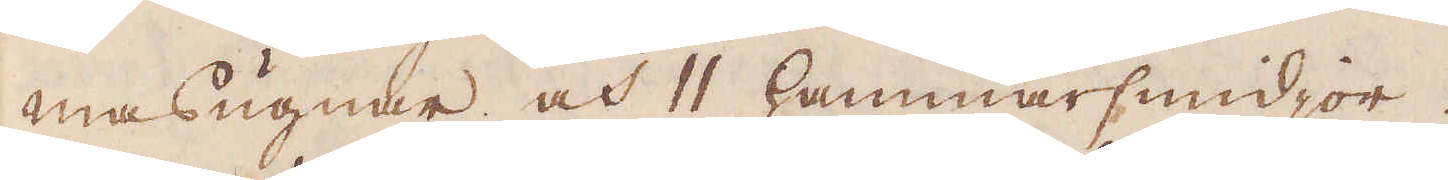masugnar och 11 hammarsmidjor.
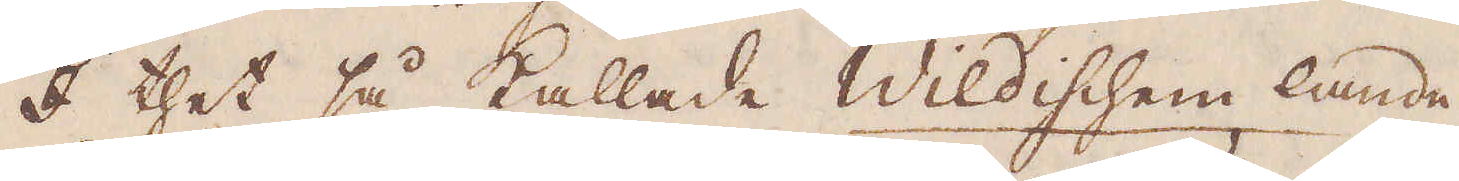I thet så kallade Wildischem lande
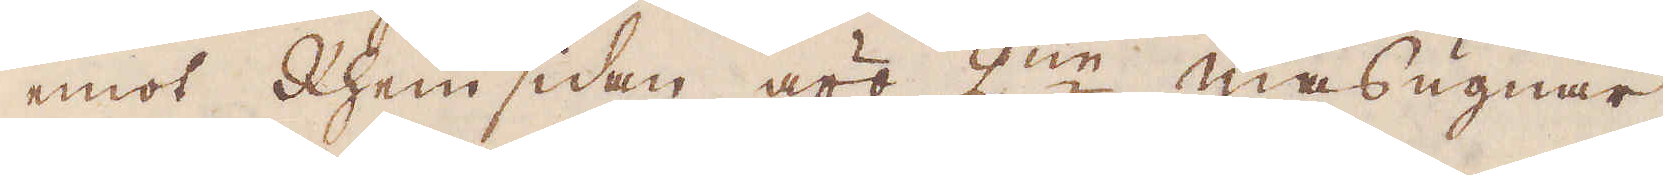emot Rhein sidan äro 2:ne masugnar
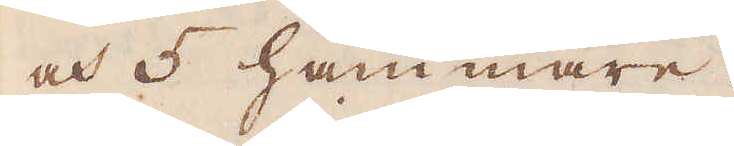och 5 hammare.
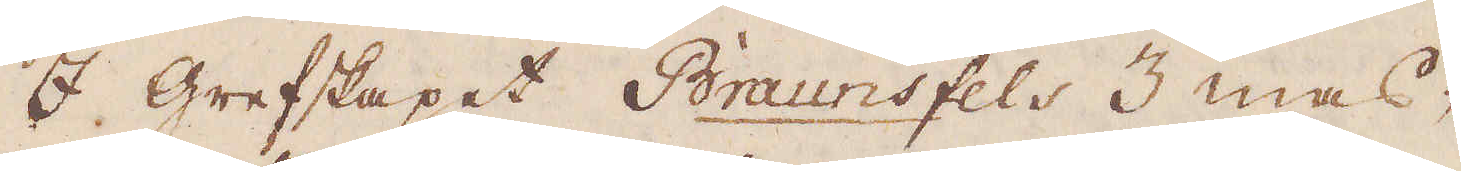I grefskapet Braunsfels 3 mas-
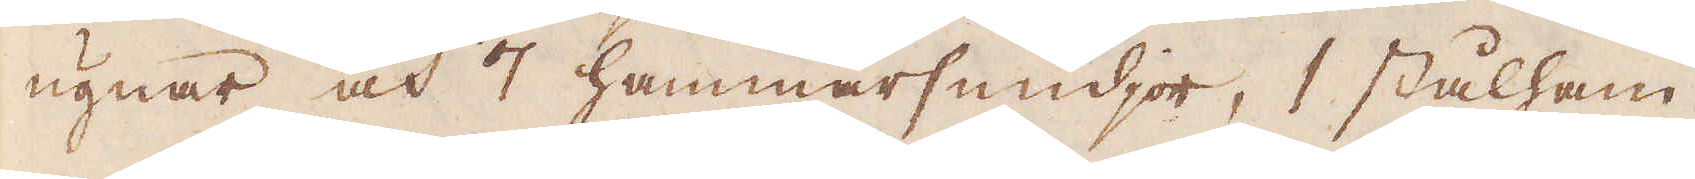ugnar och 7 hammarsmidjor, 1 stålham-
